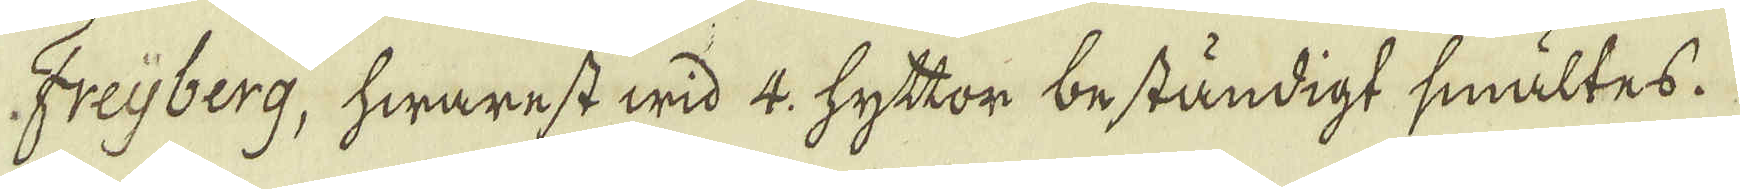Freijberg, hwarest wid 4: hyttor beständigt smältes.
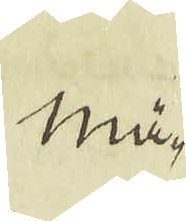Mä-
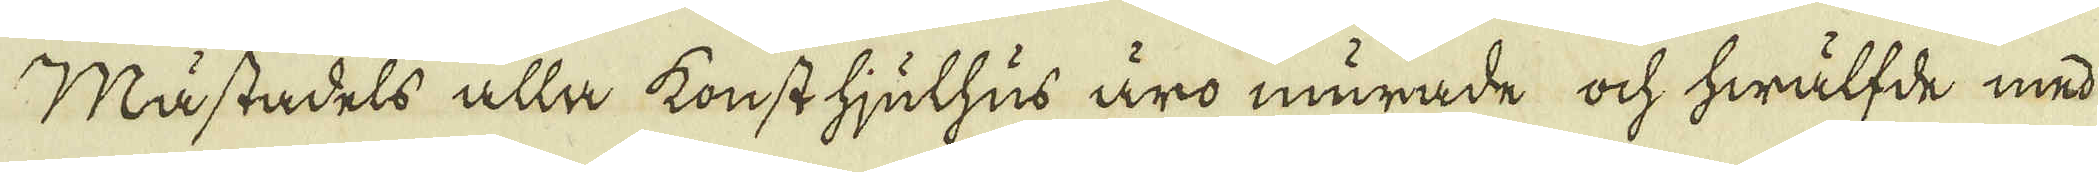Mästadels alla konst hjulhus äro murade ock hwälfde med
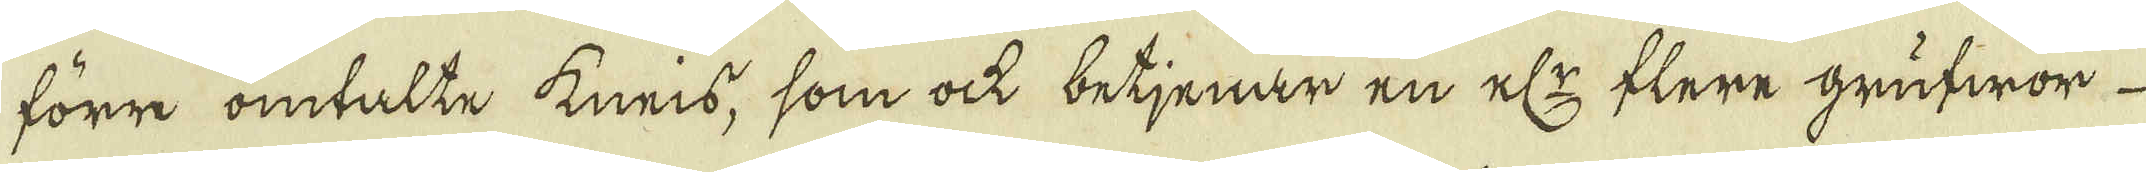förr omtalte kneis, som ock betjenar en elr flere grufwor
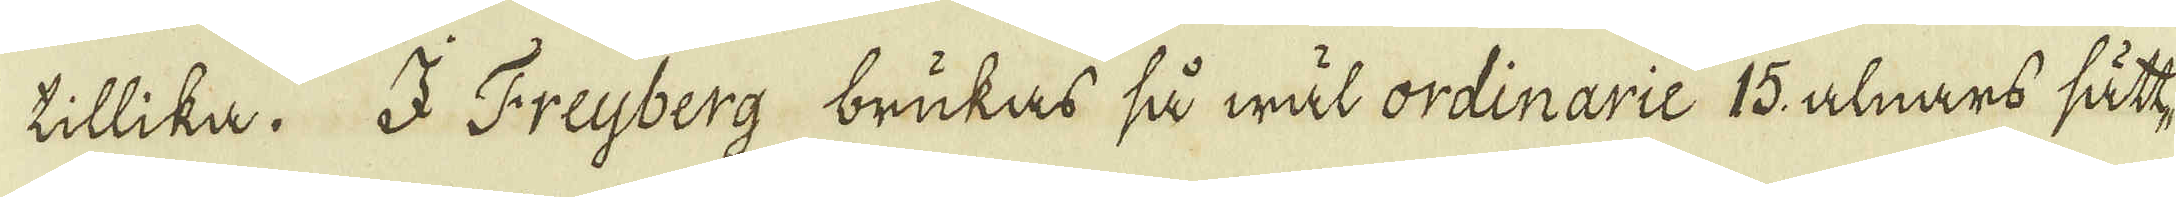tillika. I Freyberg brukas så wäl ordinarie 15, alnars sätt-
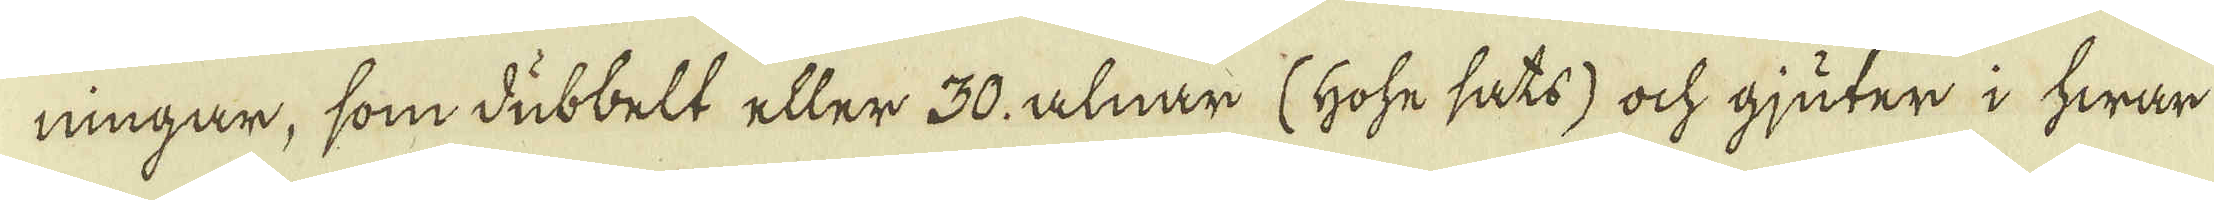ningar, som dubbelt eller 30. alnar (hohe sats) ock gjuter i hwar
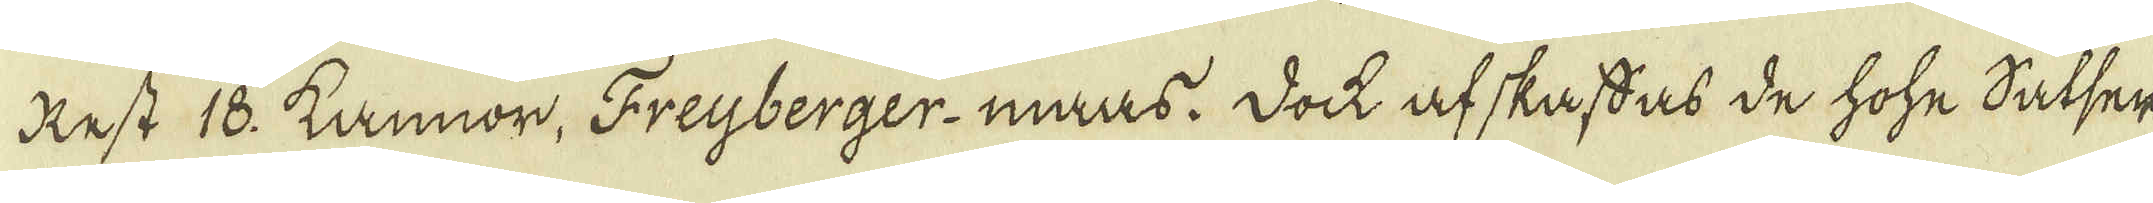Rest 18. kannor, Freyberger-maas. Dock afskaffas de hohe Satser
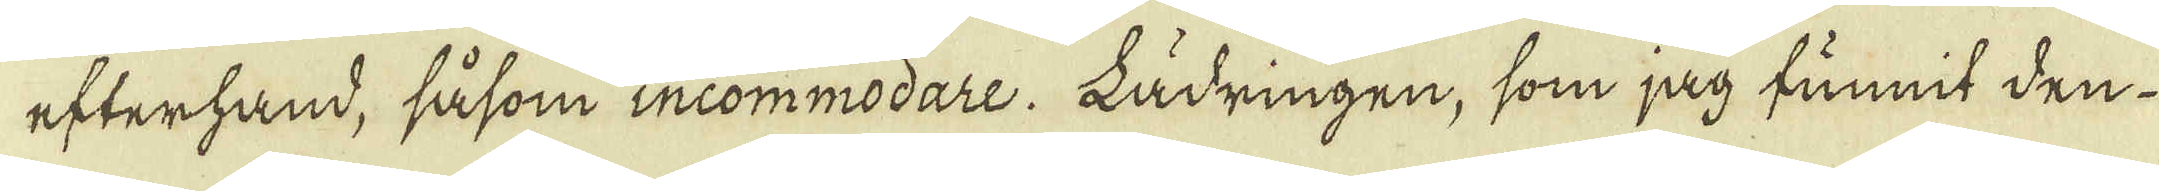efterhand, såsom incommodare. Lädringen, som jag funnit den
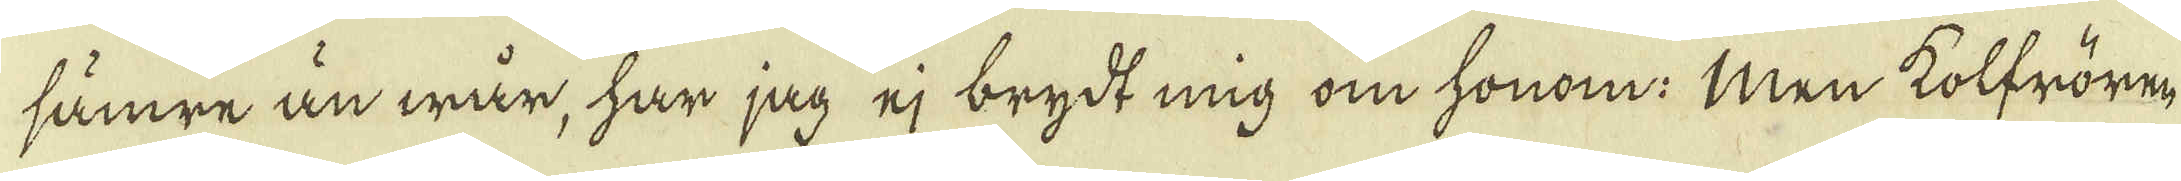sämre än wär, har jag ej brytt mig om honom. Men kolfrören,
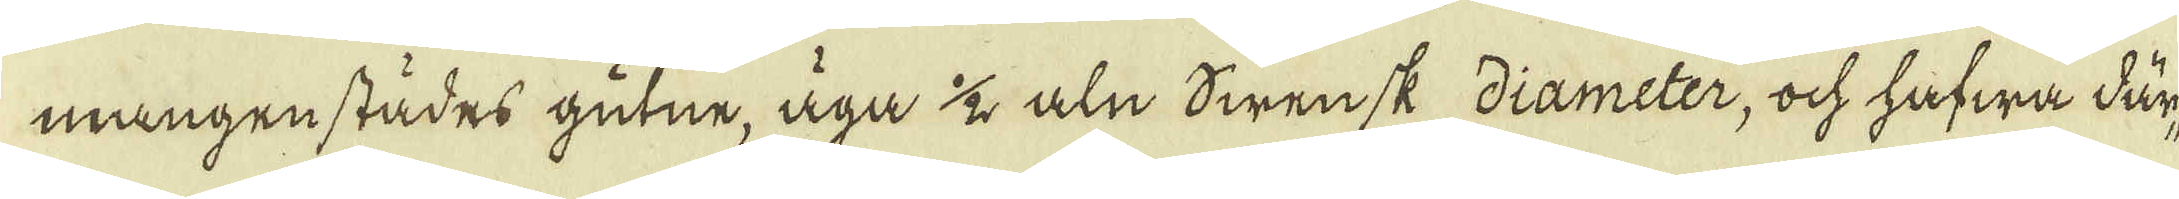mångenstädes gutne, äga 1/2 aln Swensk diameter, ock hafwa där-
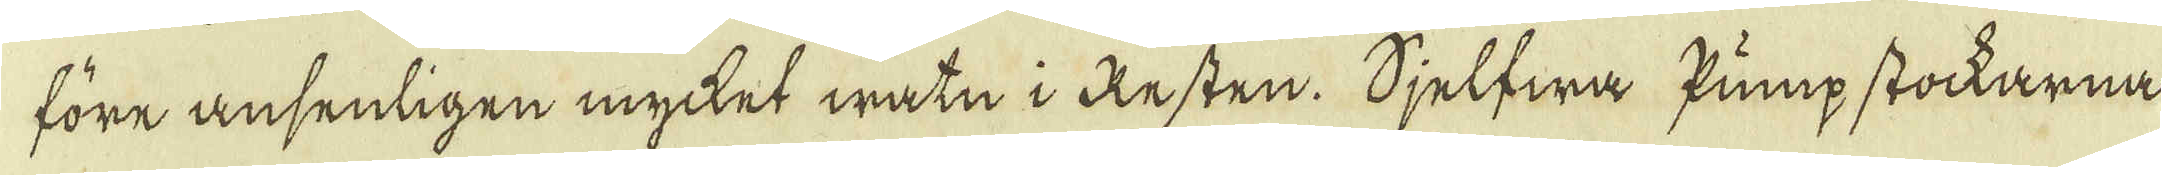före ansenligen mycket watn i Resten. Sjelfwa pump stockarna
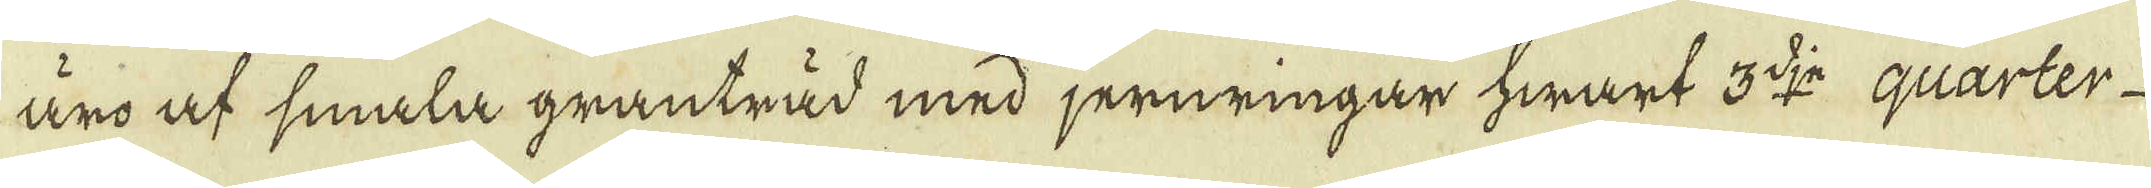äro af smala granträd med jernringar hwart 3:dje quarter
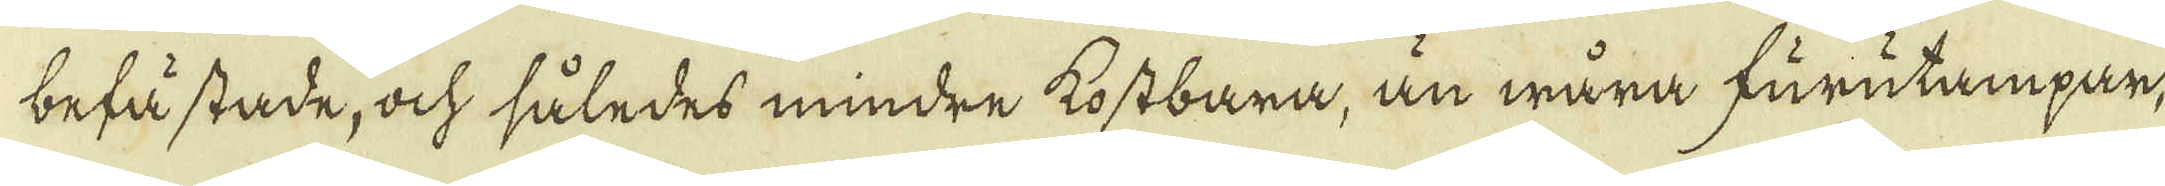befästade, ock således mindre kostbara, än wåra furutampar,
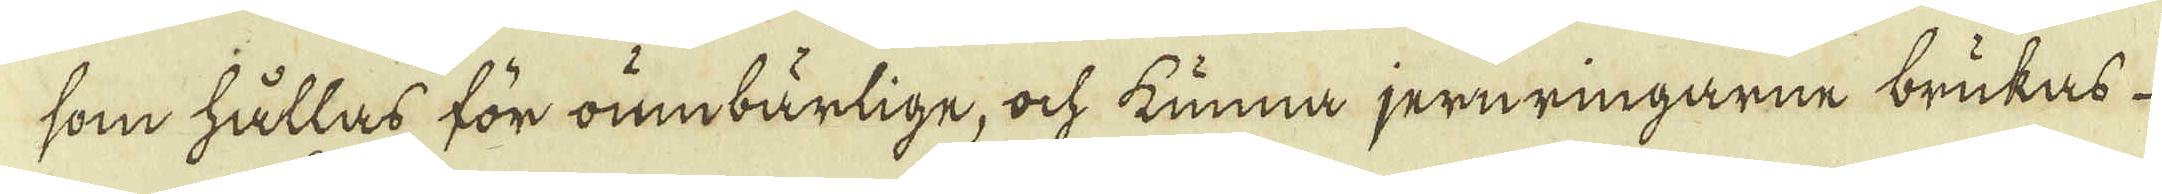som hållas för oumbärlige, ock kunna jernringarne brukas
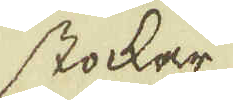stockar
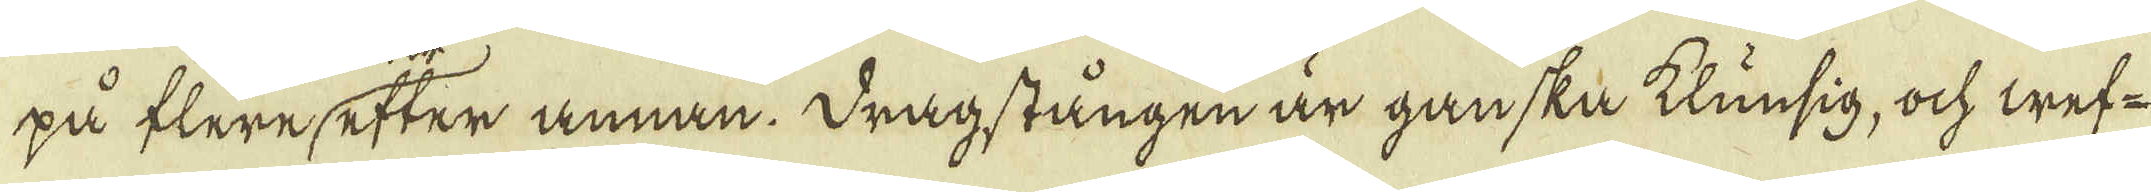på flere efter annan. Dragstången är ganska klunsig, ock wef-
